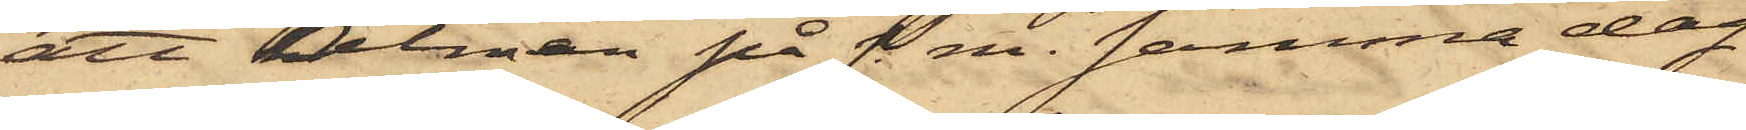att Alman på f. m. samma dag
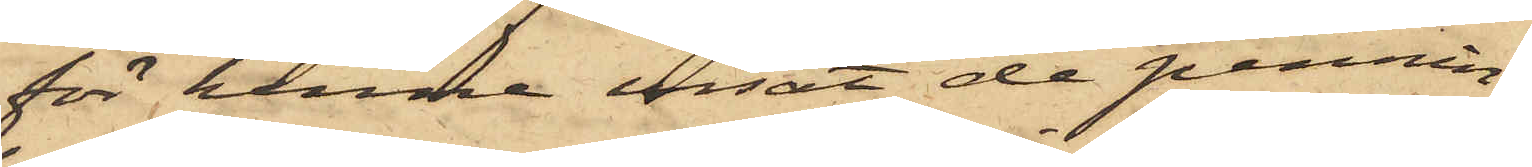för henne visat de pennin¬
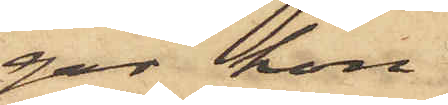gar hon
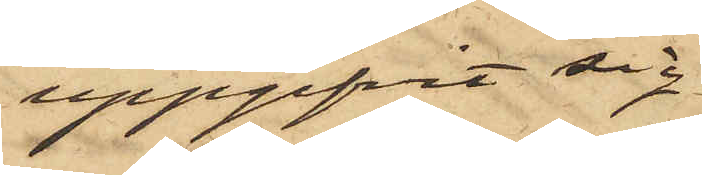uppgifvit sig
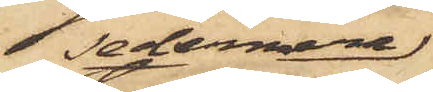sedermera
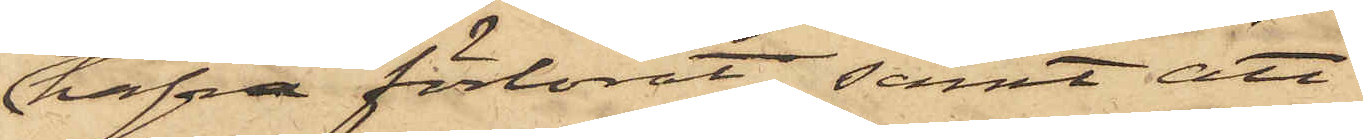hafva förlorat; samt att
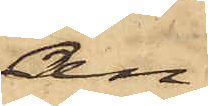An¬
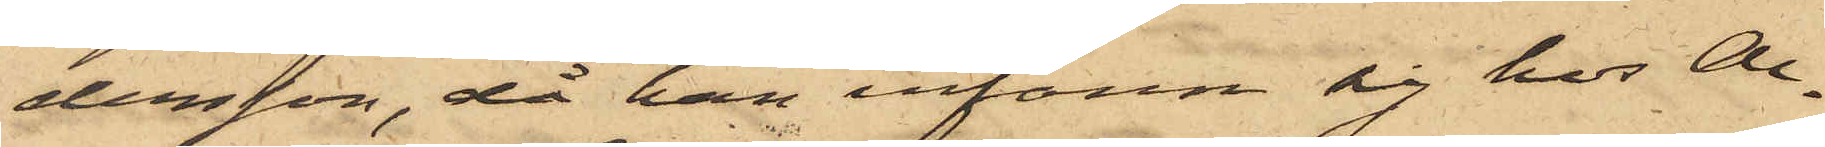dersson, då han infann sig hos Al¬
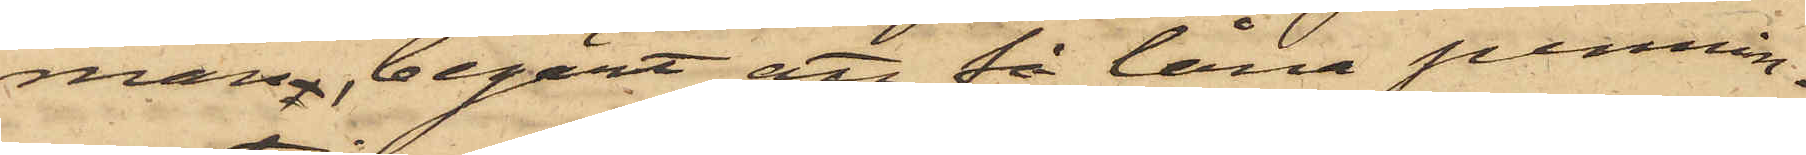man, begärt att få låna pennin¬
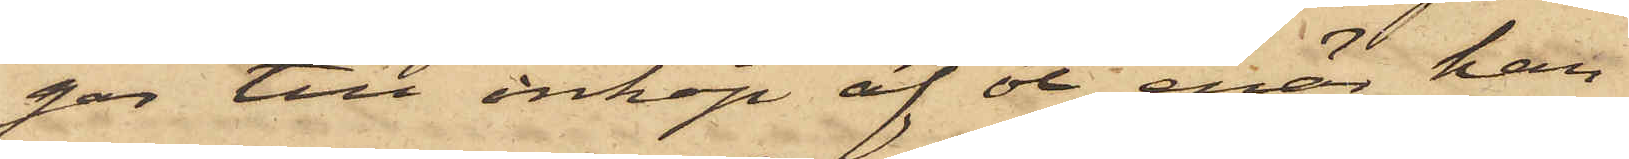gar till inköp af öl, enär han
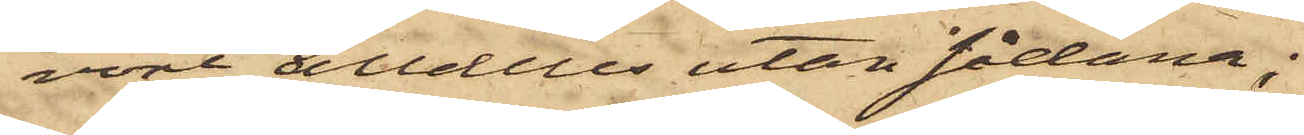vore alldeles utan sådana;
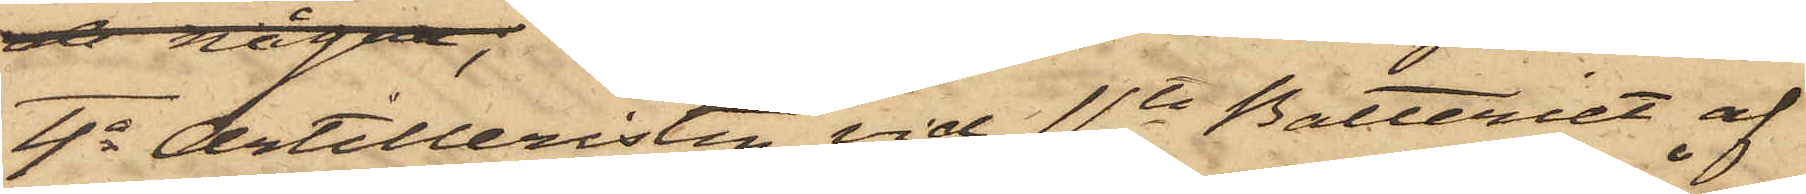4o Artilleristen vid 11te Batteriet af
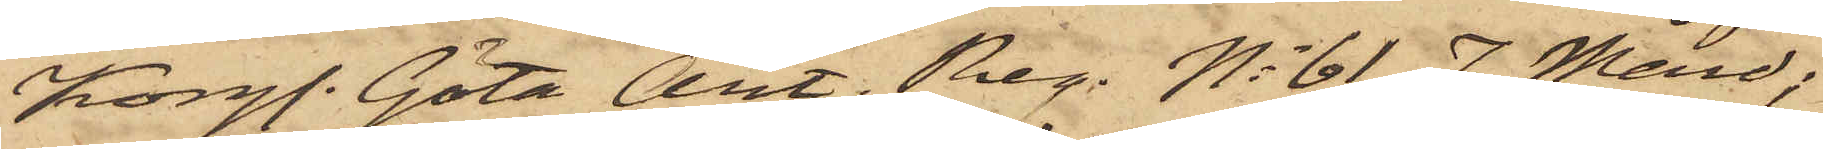Kongl. Göta Art. Reg. No 61 J. Mård;
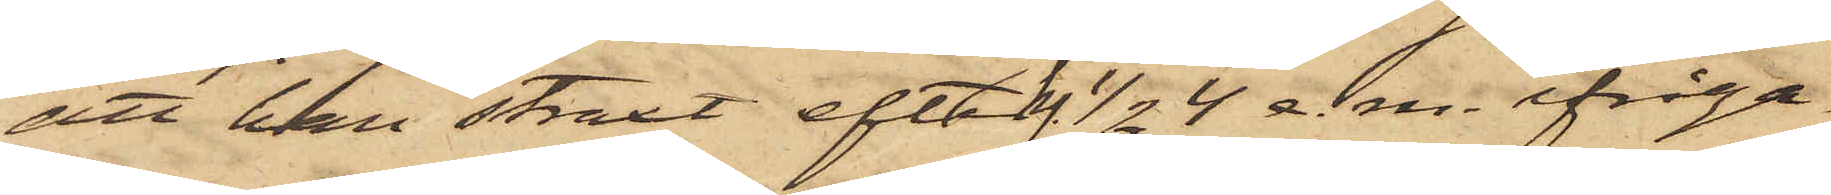att han straxt efter 1/2 4 e. m. ifråga¬
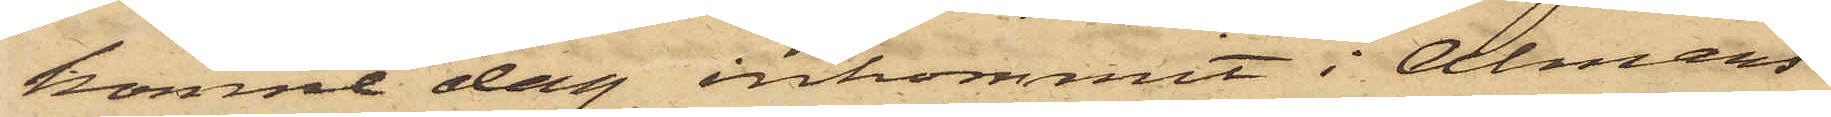komne dag inkommit i Almans
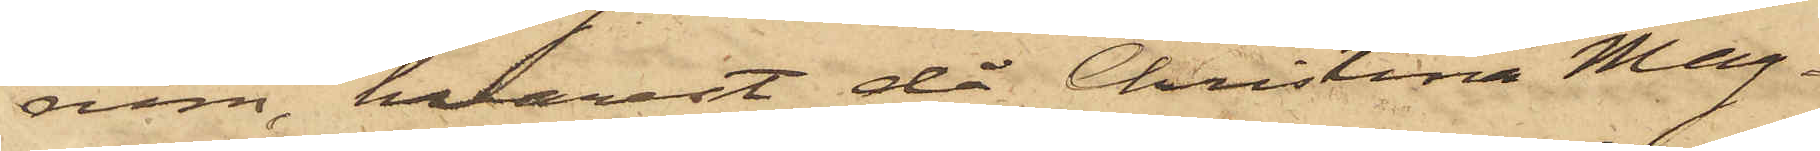rum, hvarest då Christina Mag¬
